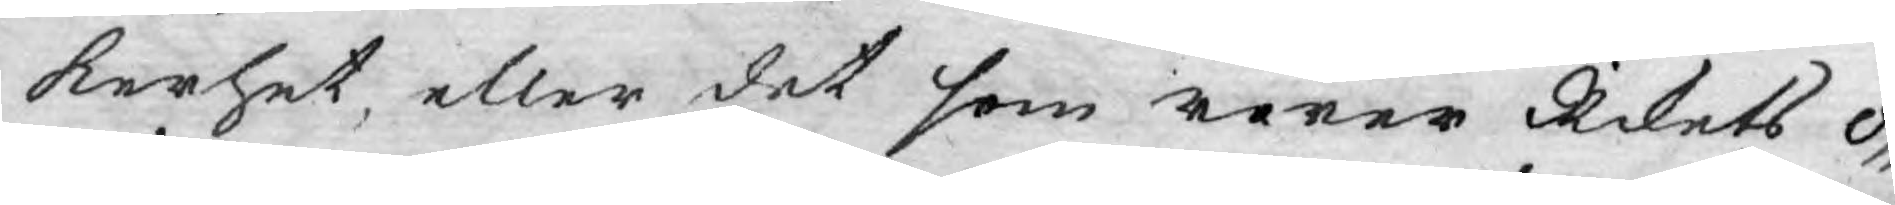kerhet, eller det som rörer Rikets o¬
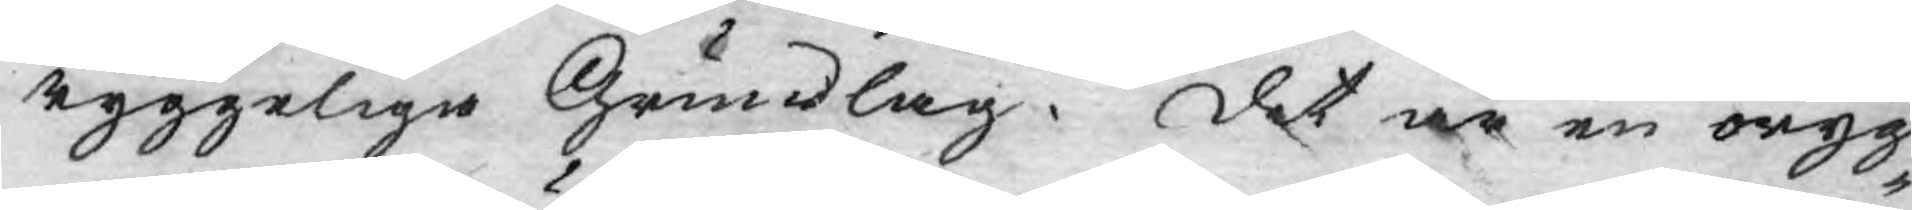ryggeliga Grundlag. Det är en oryg¬
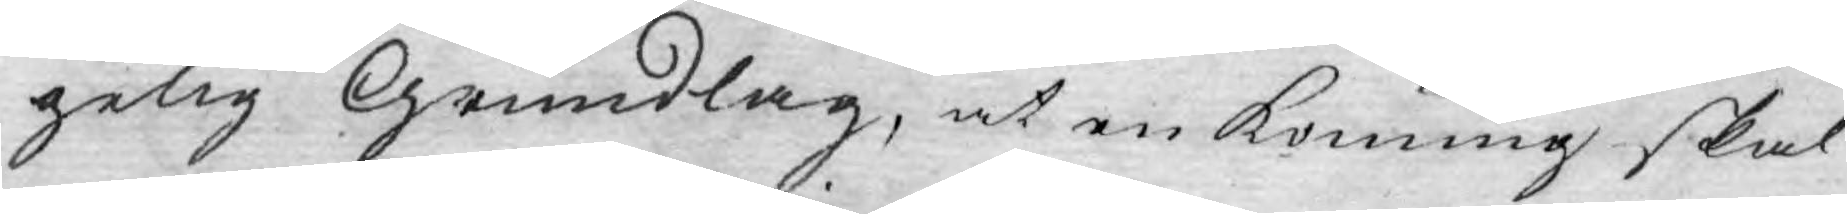gelig Grundlag, at en Konung skal
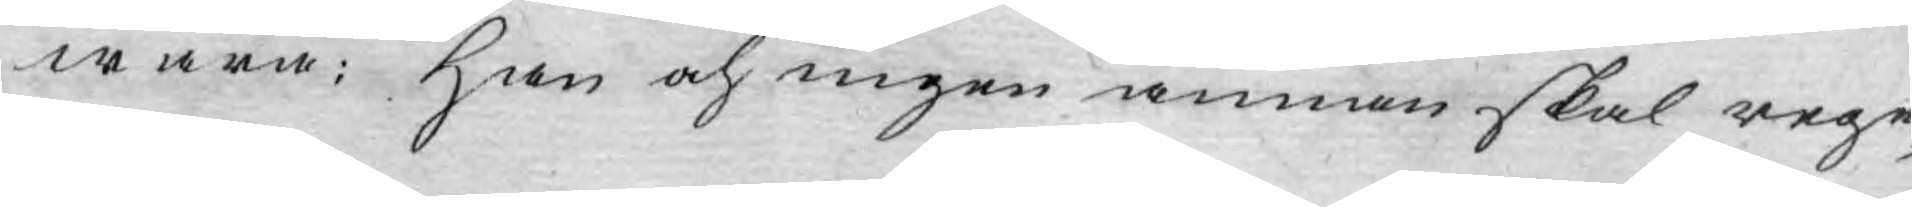wara: han och ingen annan skal rege¬
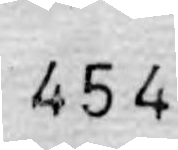454
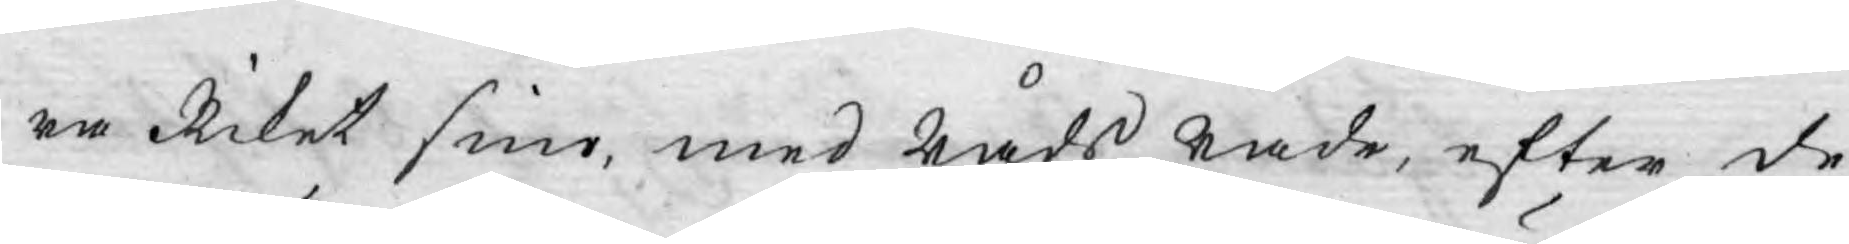ra Riket sine, med råds råde, efter de
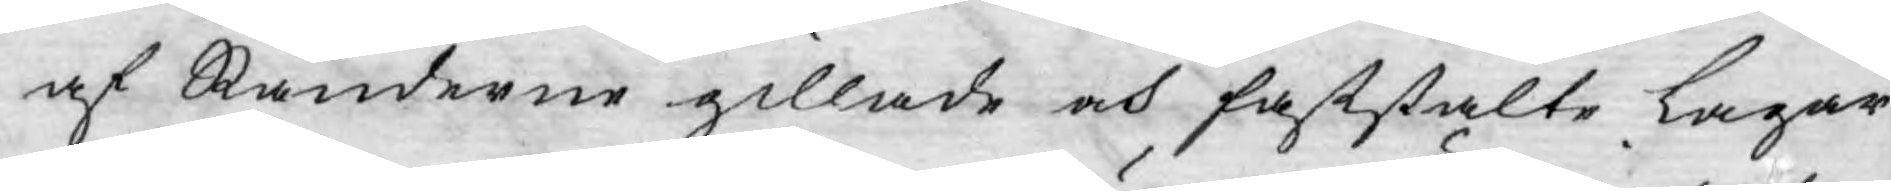af Ständerne gillade och faststälte Lagar.
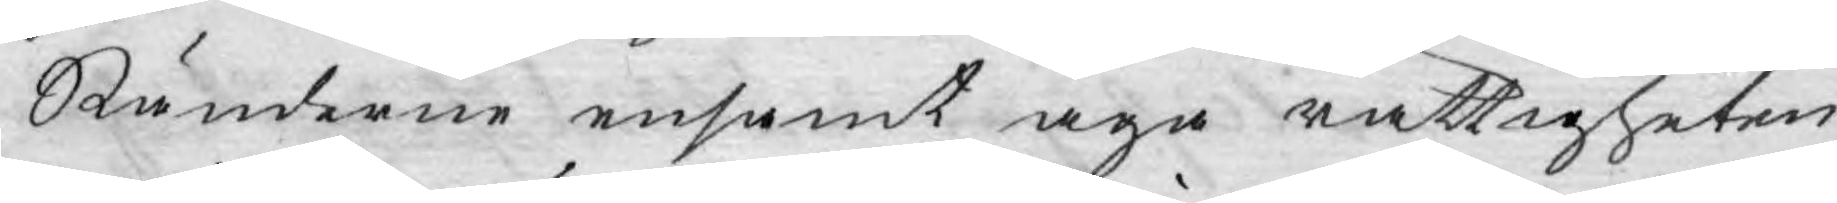Ständerne ensamt äga rättigheten
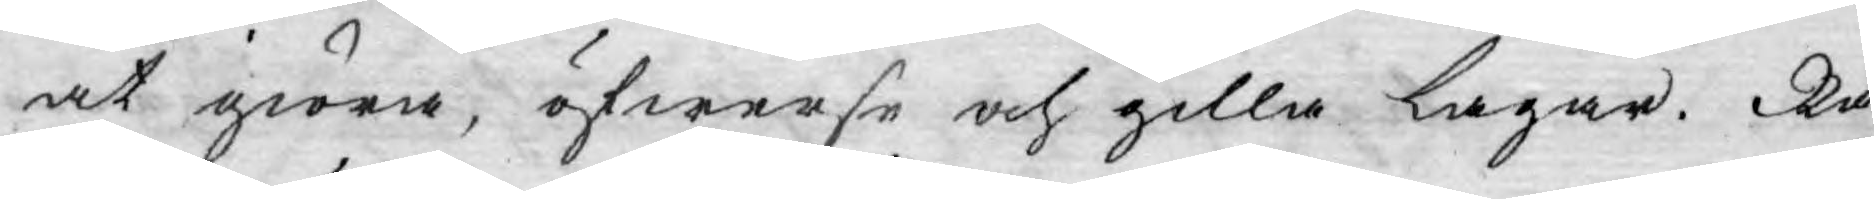at giöra, öfwerse och gilla Lagar. Rå¬
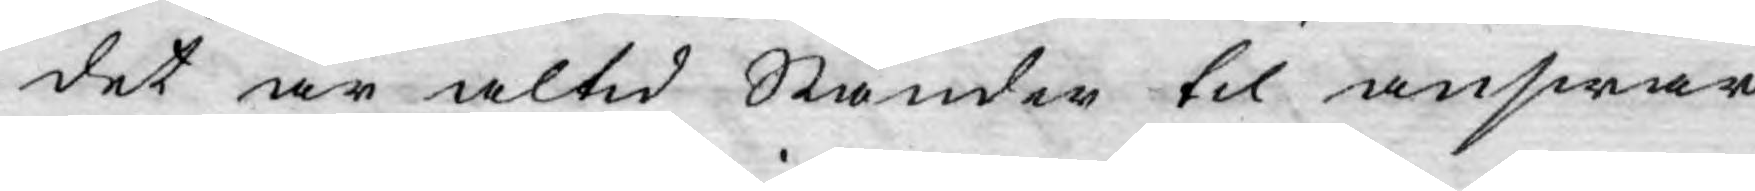det är altid Ständer til answar
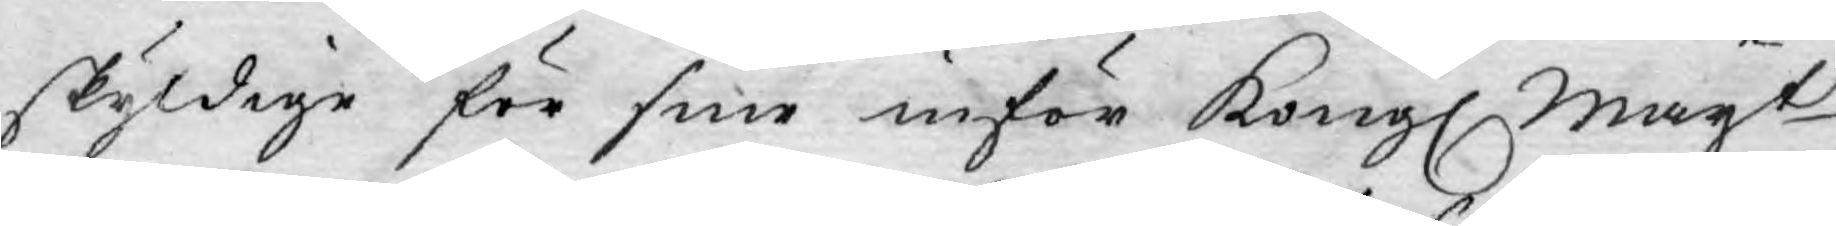skyldige för sine inför Kongl. Mayt
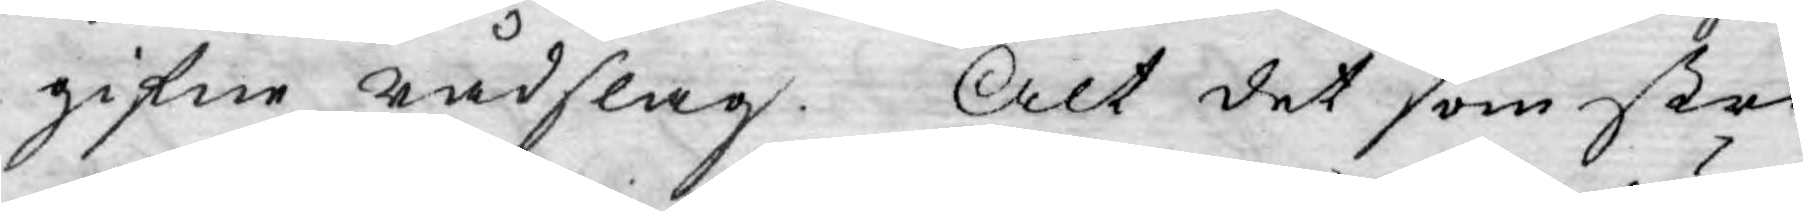gifne rådslag. Alt det som stri¬
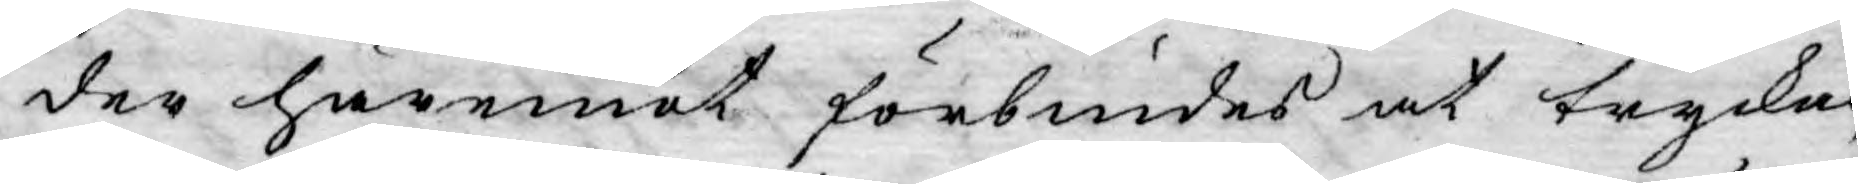der häremot förbiudes at tryckas,
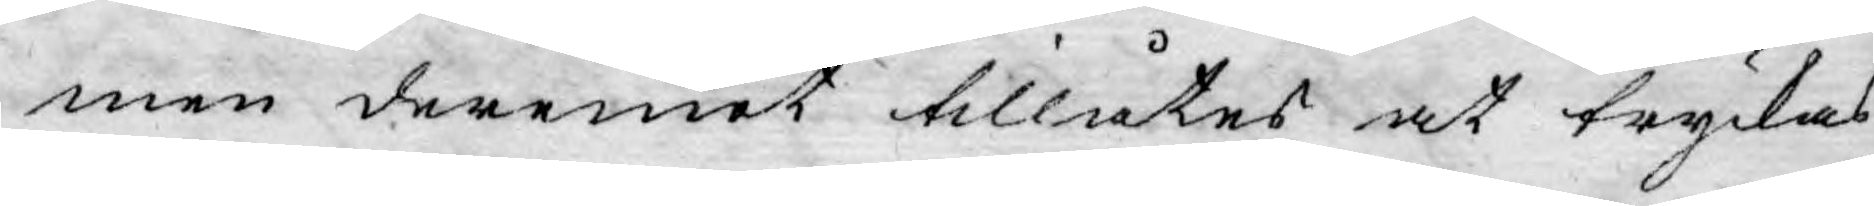men deremot tillåtes at tryckas
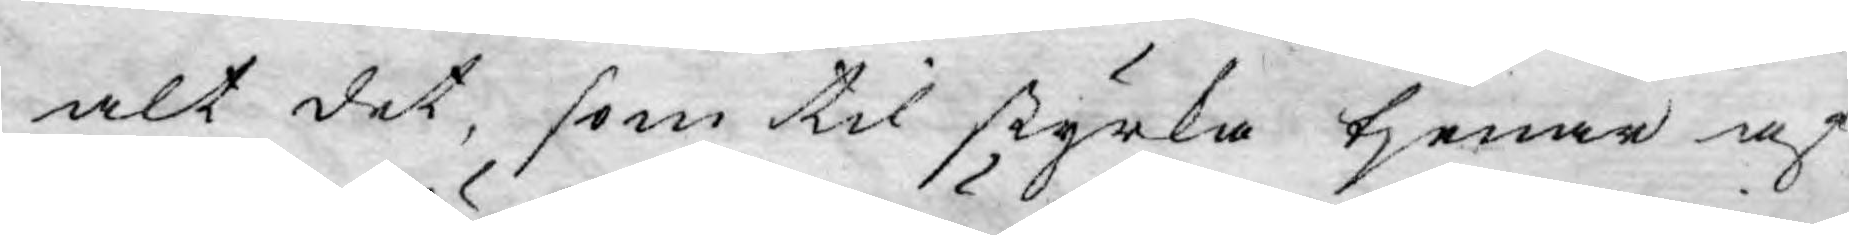alt det, som til styrka tjenar af
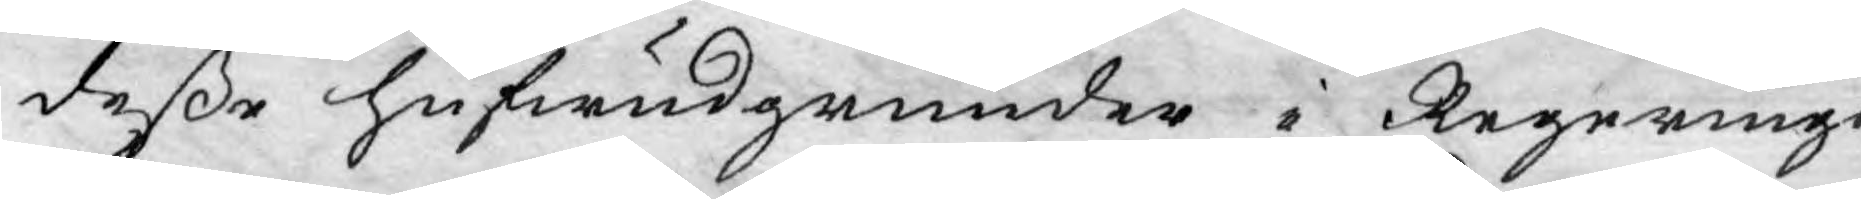deße hufwudgrunder i Regerings
